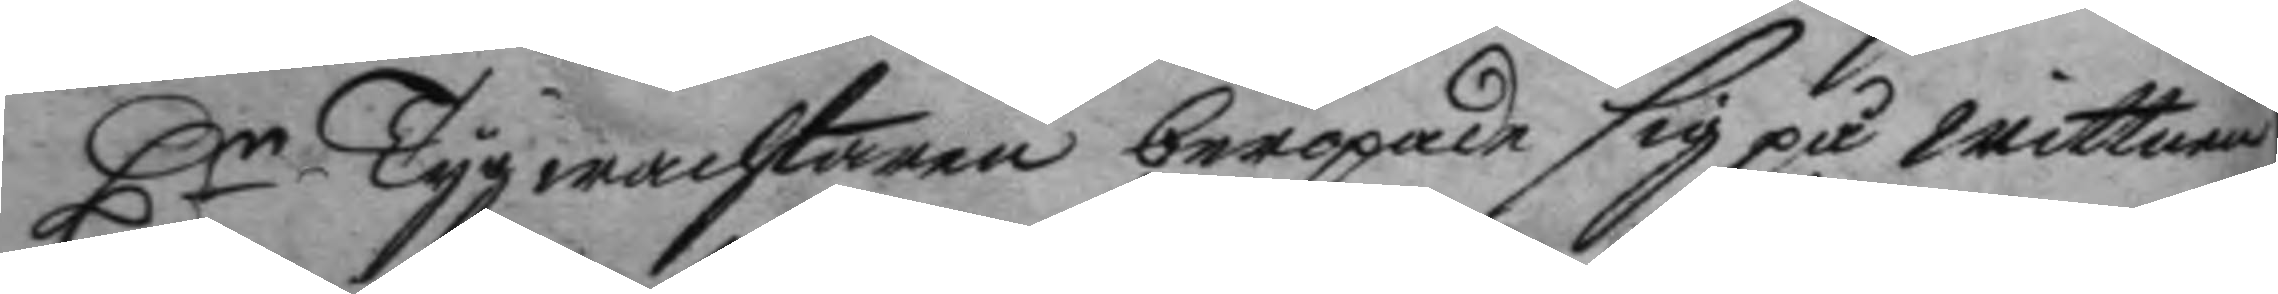Hr Tygwachtaren beropade sig på wittnen
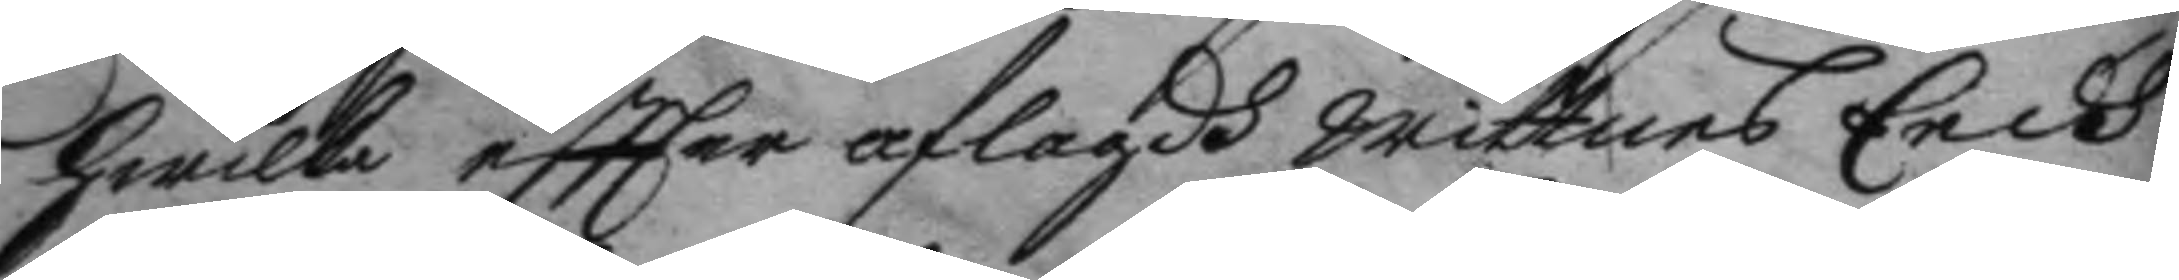hwilka eftter aflagdh wittnes Eedh
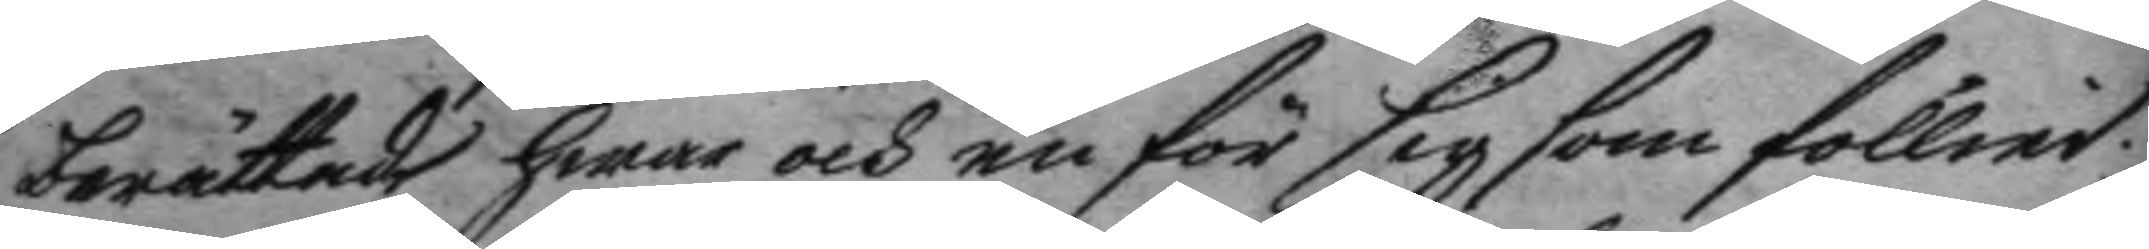berättade hwar och en för sig som föllier
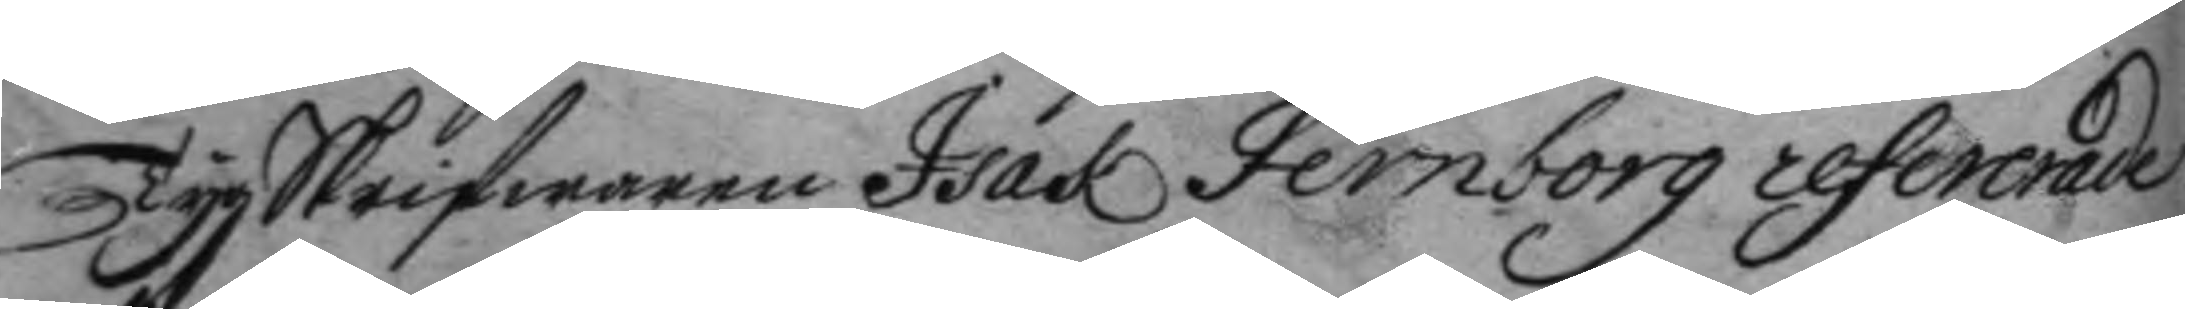TygSkrifwaren Isak Fernborg refererade
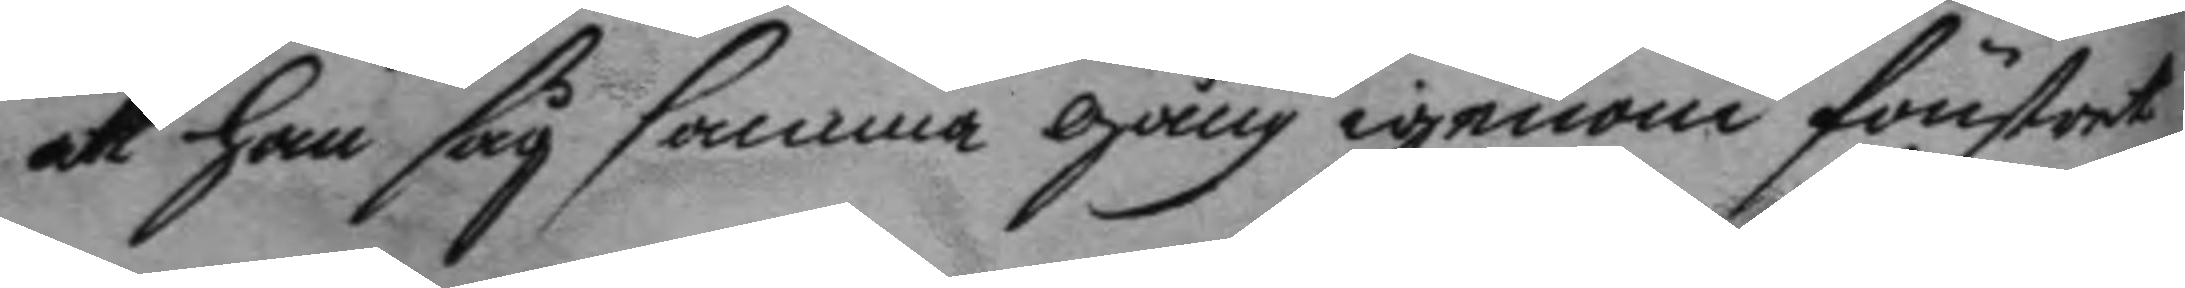att han såg samma gång igenom fönstret
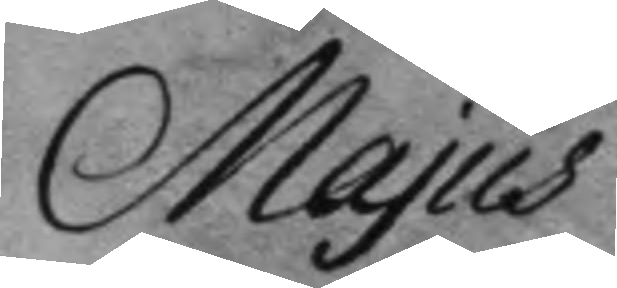Majus
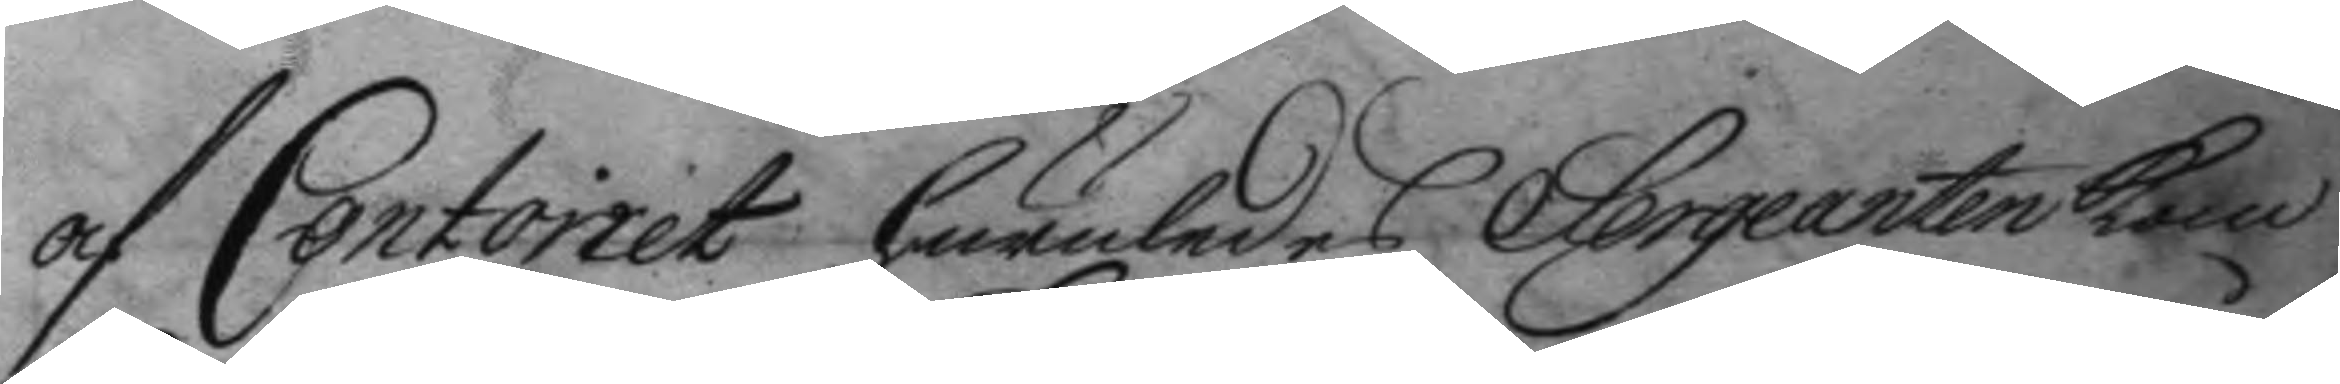af Contoiret huruledes Sergeanten kom
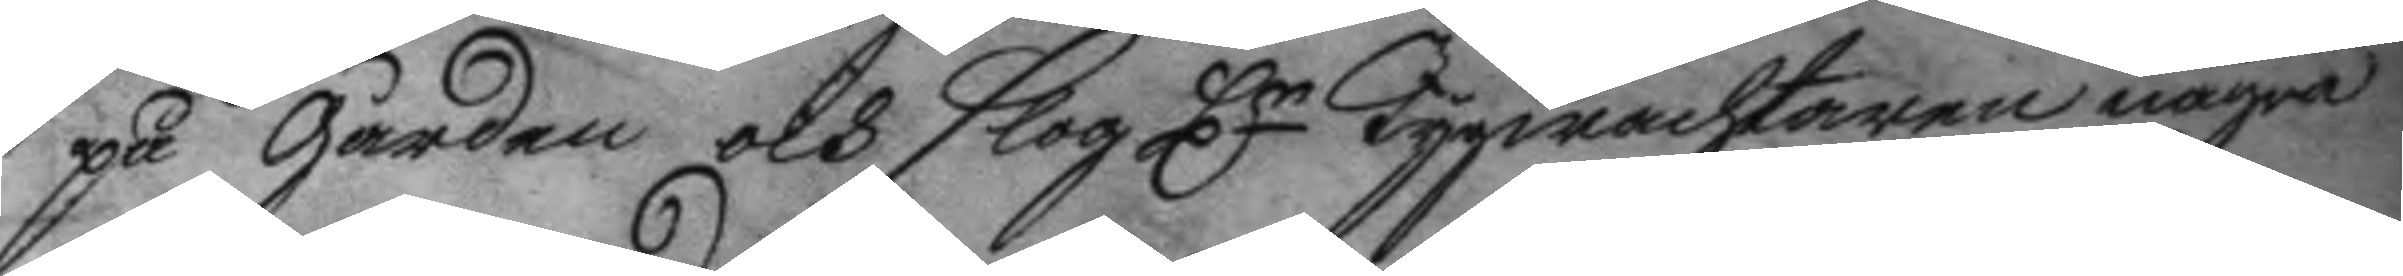på gården och slog Hr Tygwachtaren några
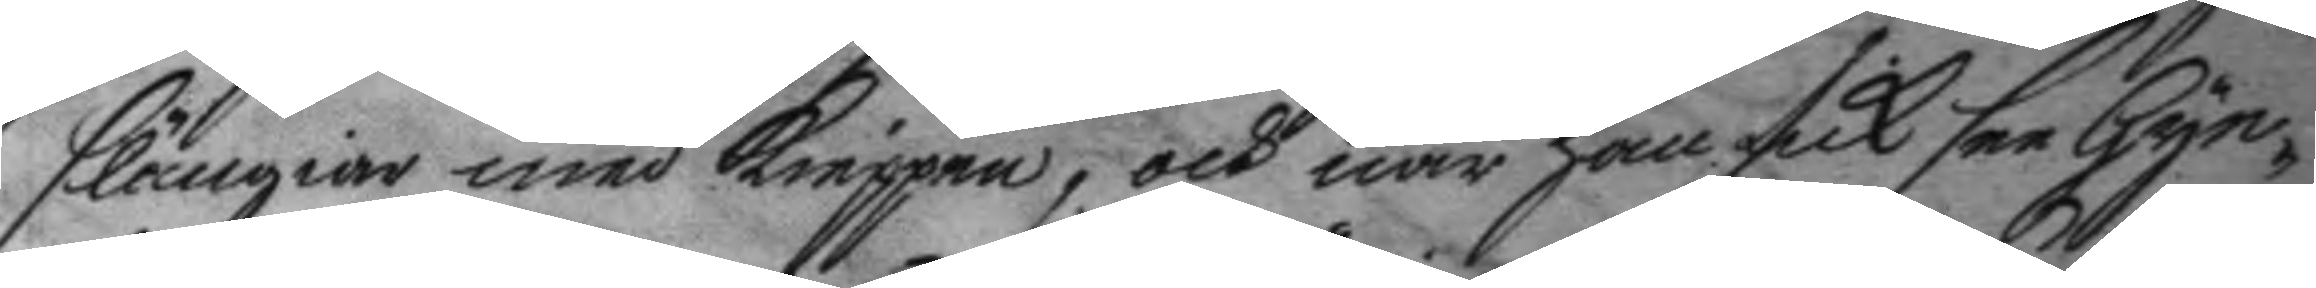slängiar med kieppen, och när han fick see Gyn¬
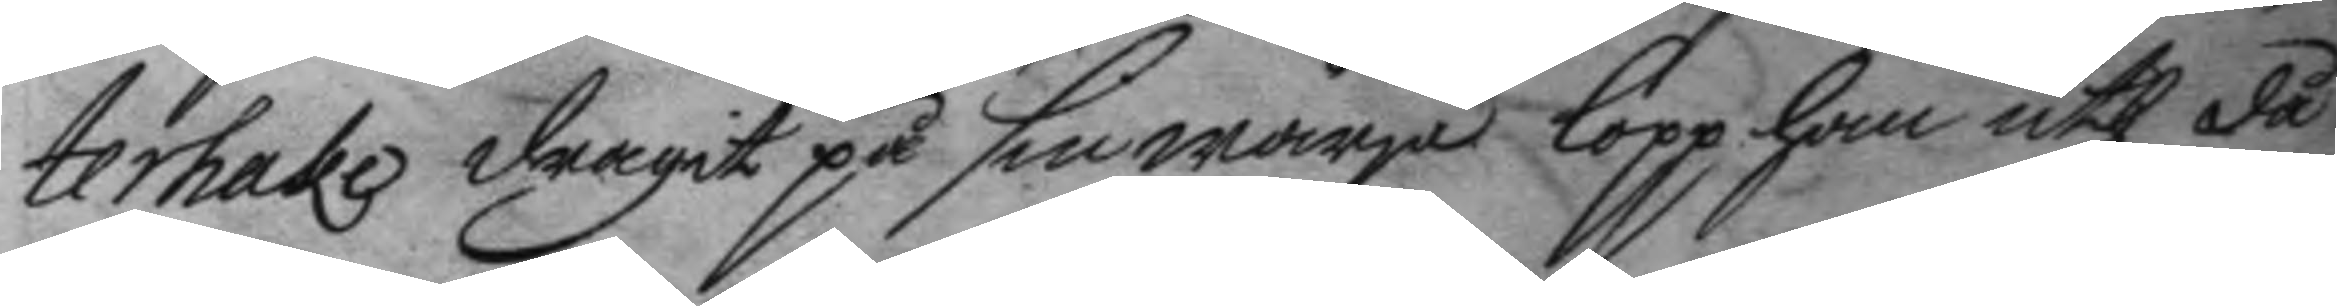terhake dragit på sin wärja lopp han uth då
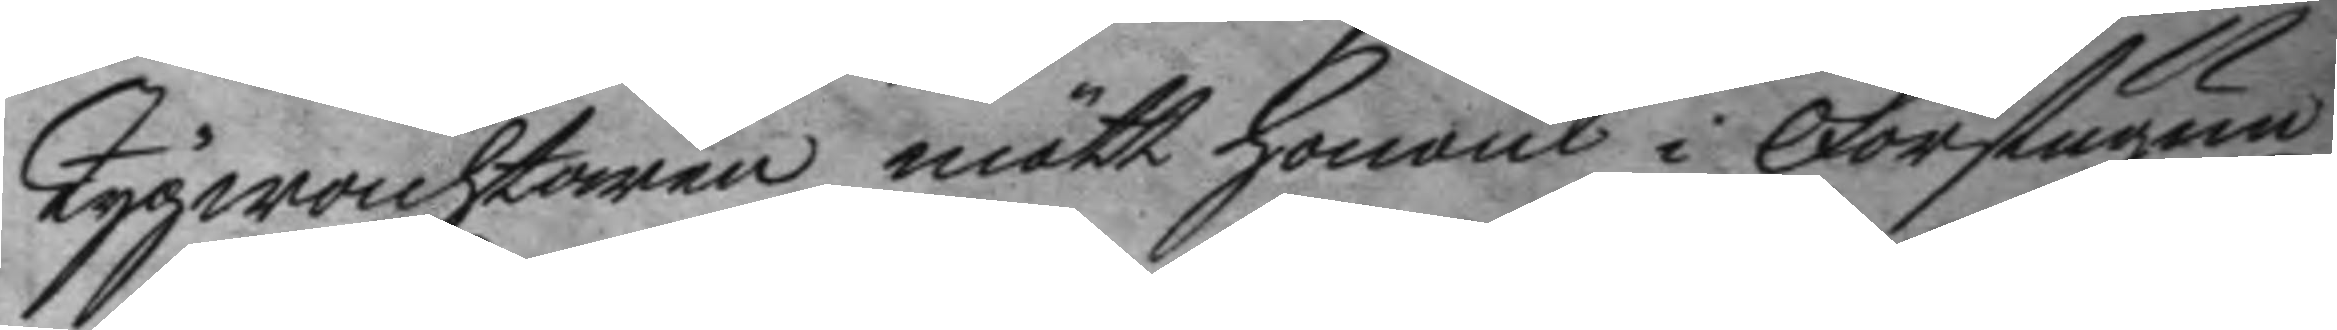Tygwachtaren mött honom i Forstugun
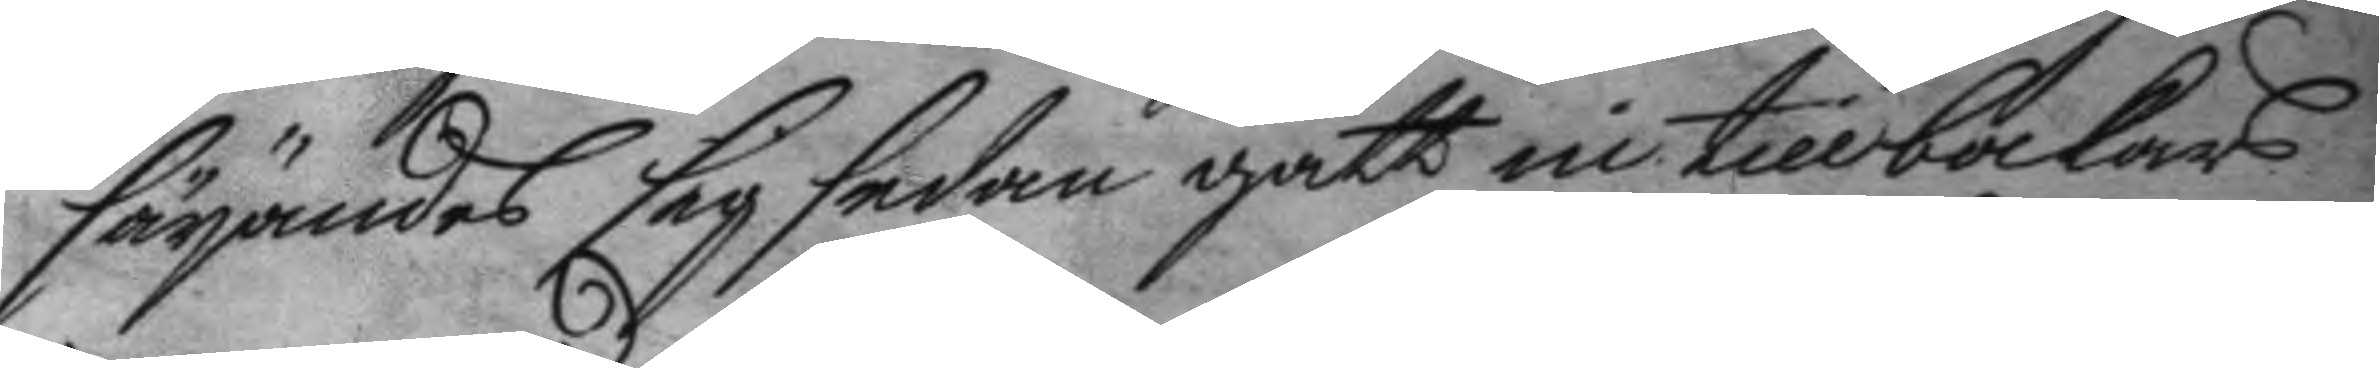säyandes sig sedan gått in tillbakars
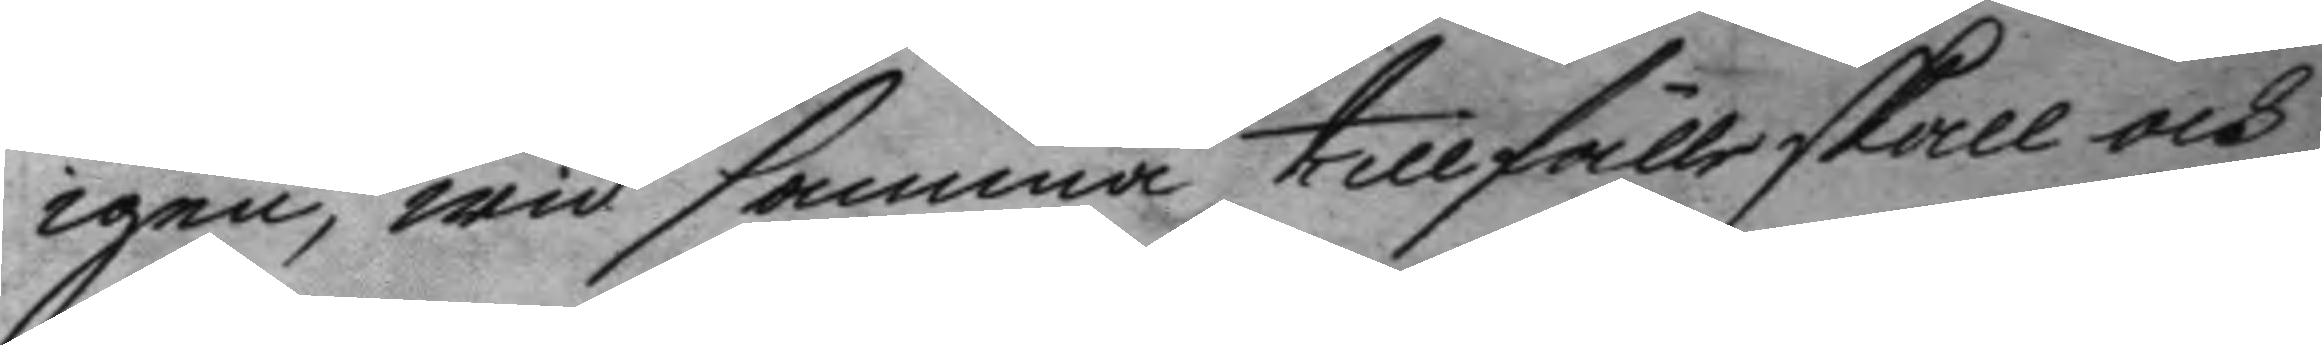igen, wid samma tillfälle skall och
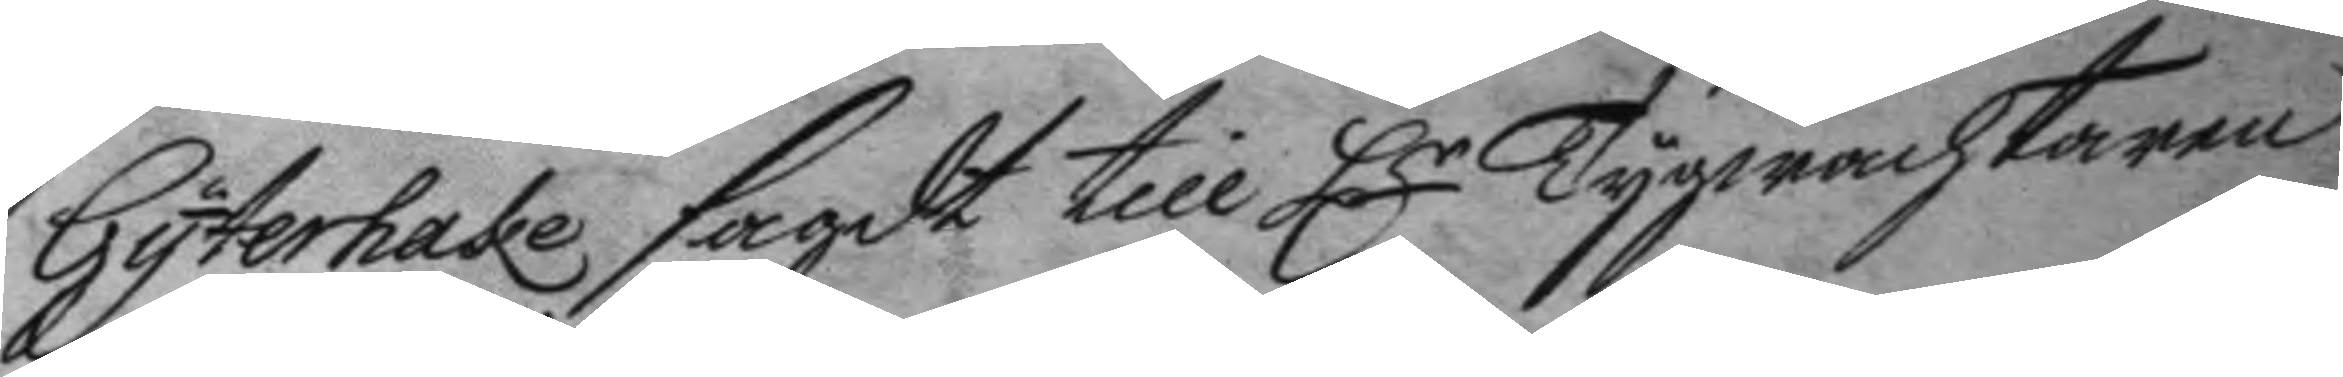Gyterhake sagdt till Hr Tygwachtaren
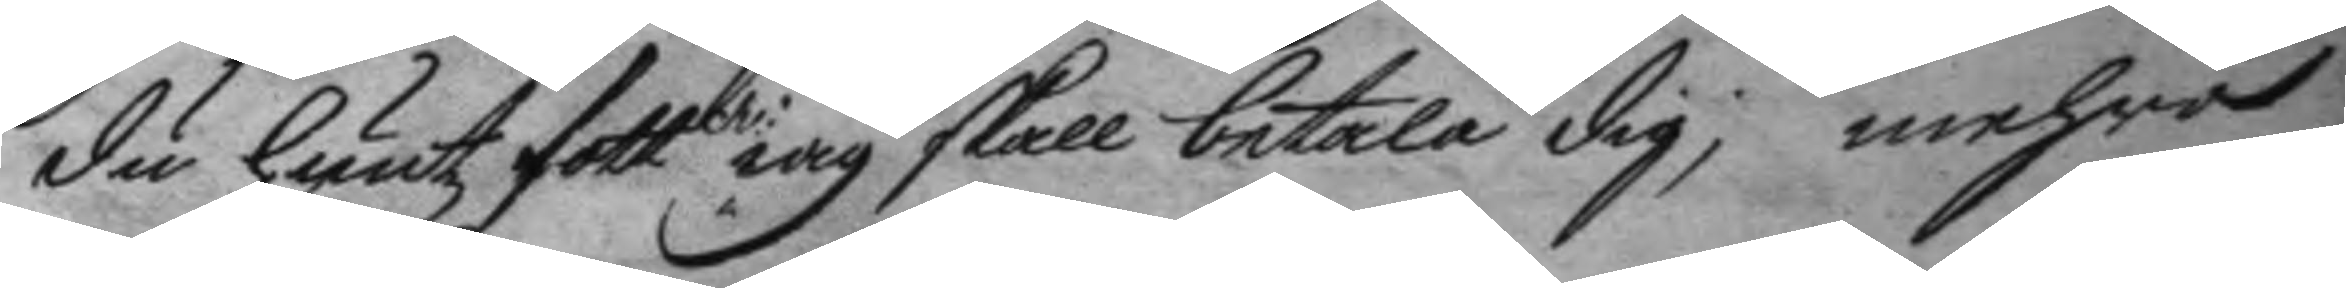du hutzfott iag skall betala dig; mehra
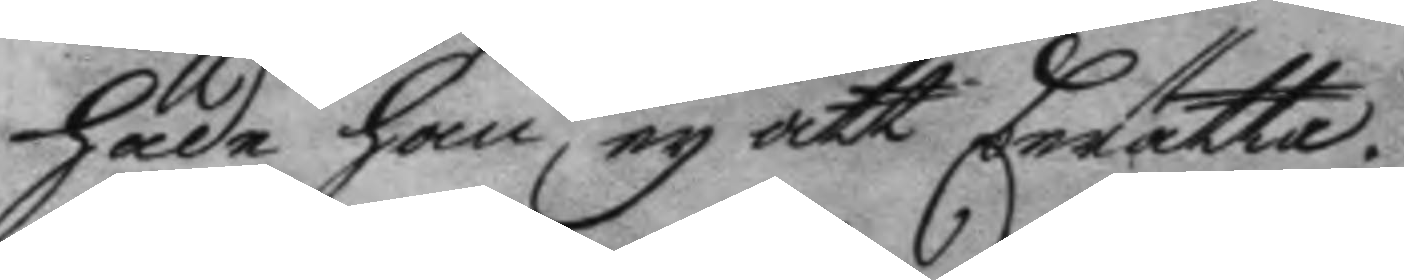hade han ey att berätta.
